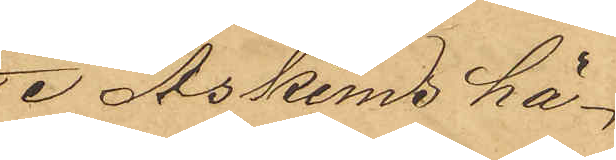I Askims hä¬
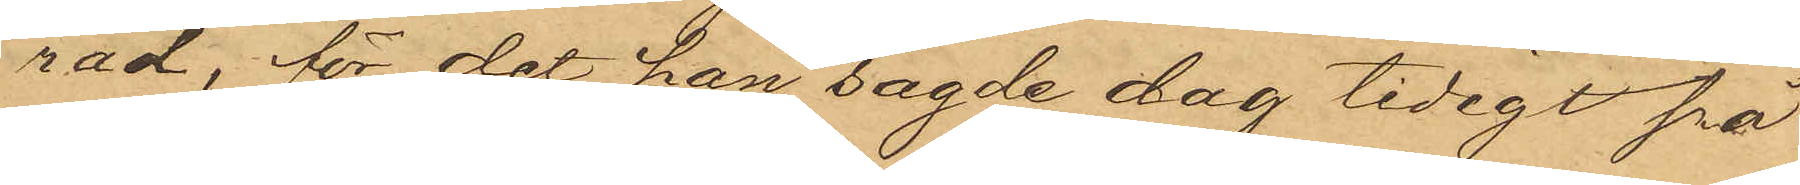rad, för det han sagde dag tidigt på
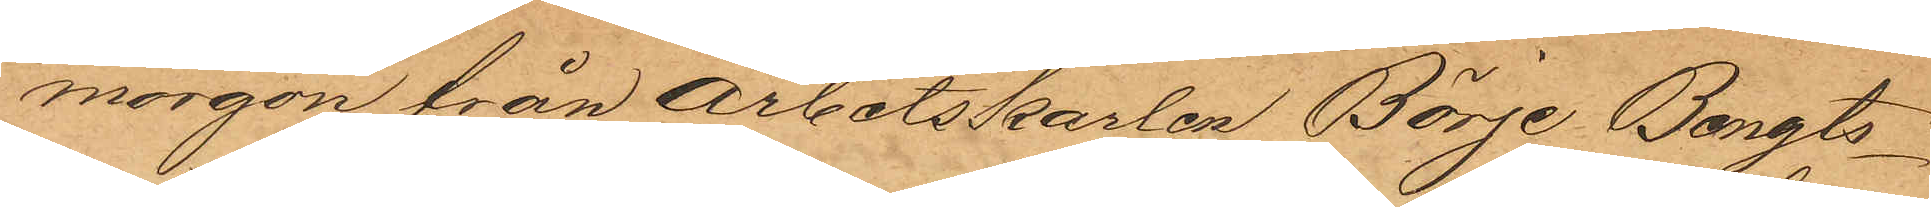morgon från arbetskarlen Börje Bengts¬
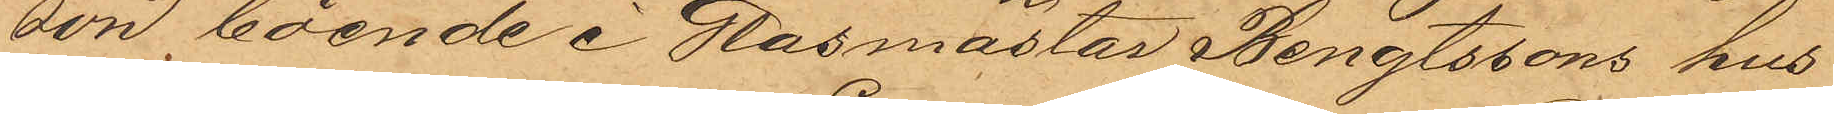son boende i Glasmästar Bengtssons hus
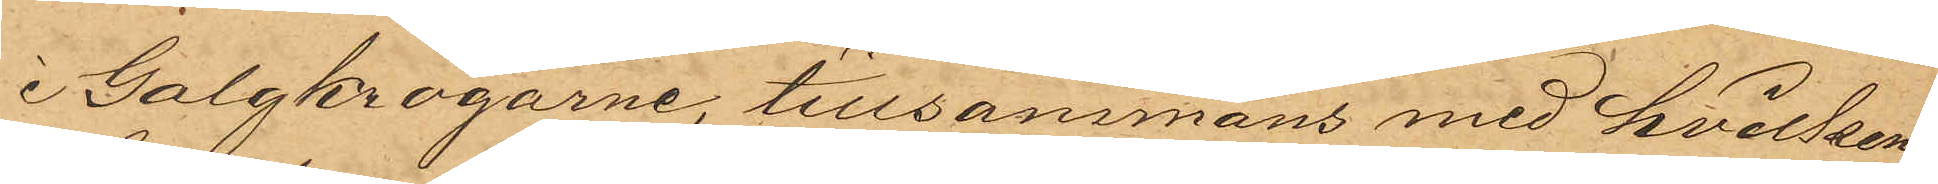i Galgkrogarne, tillsammans med hvilken
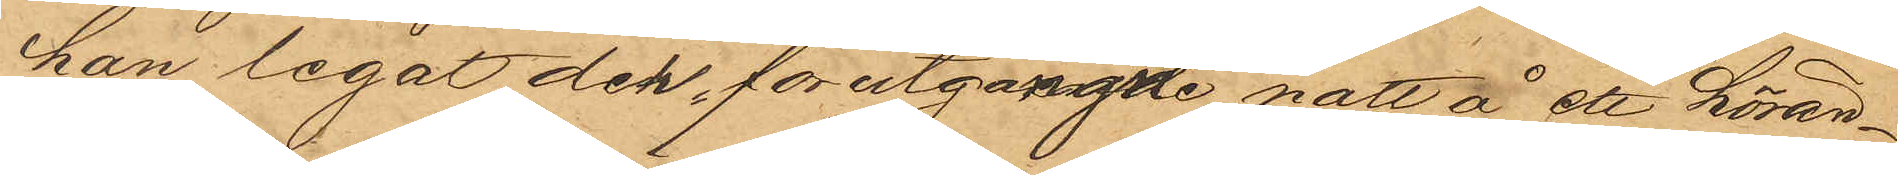han legat den förutgångne natt å ett hörän¬
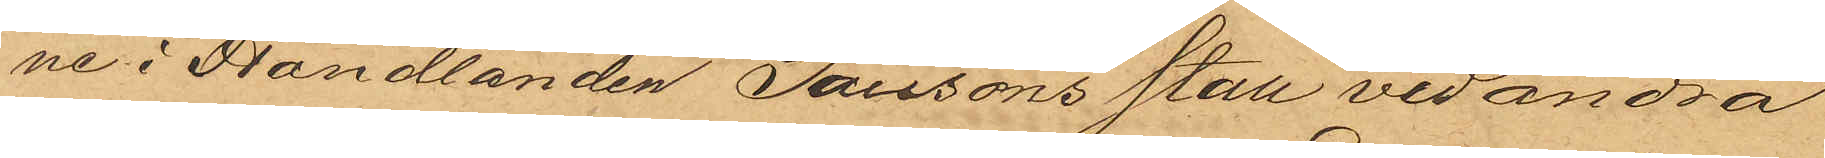ne i Handlanden Tausons stall vid andra
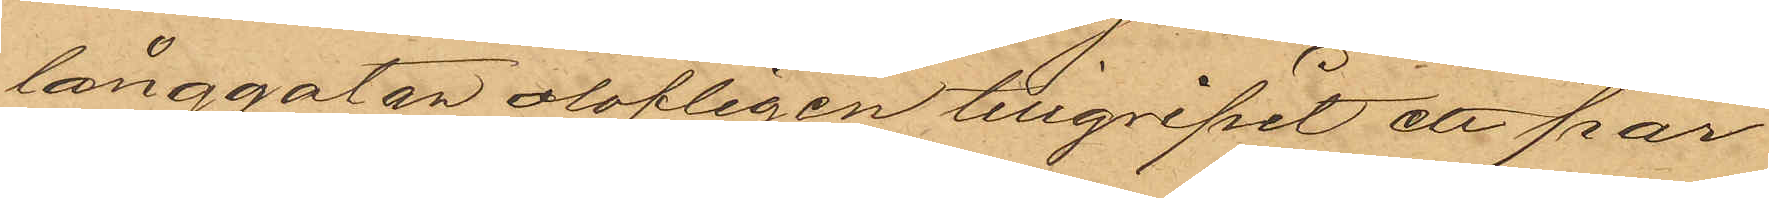långgatan olofligen tillgripit ett par
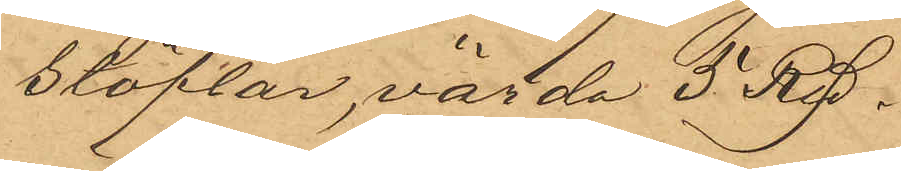stöflar, värde 5 Rdr.
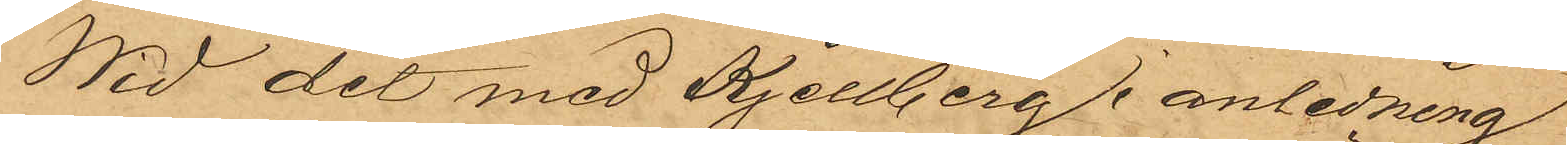Wid det med Kjellberg i anledning
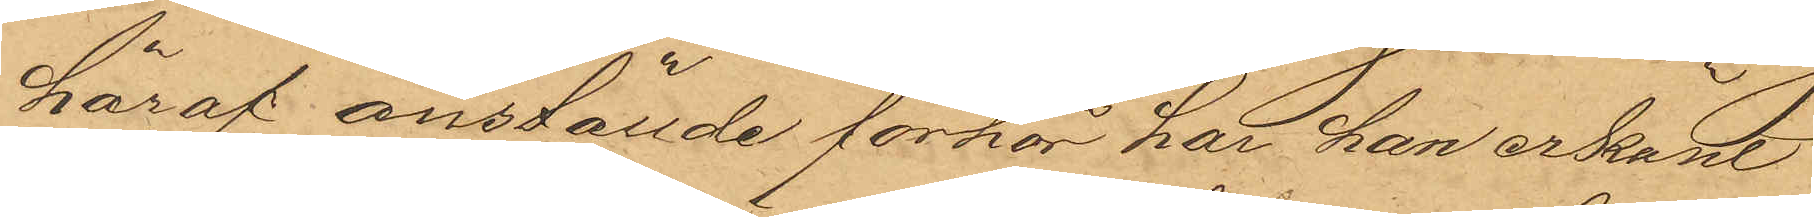häraf anställde förhör har han erkänt
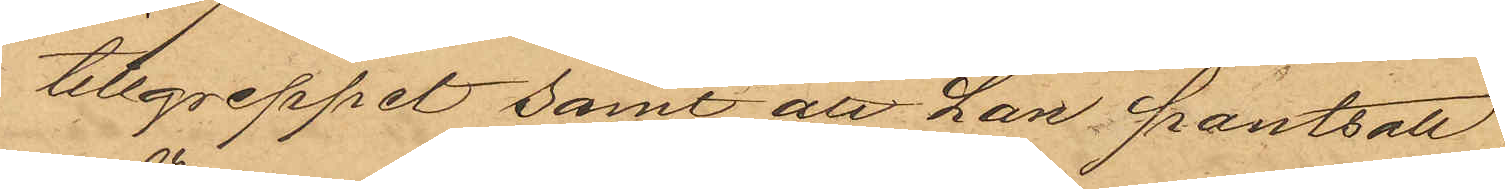tillgreppet samt att han pantsatt
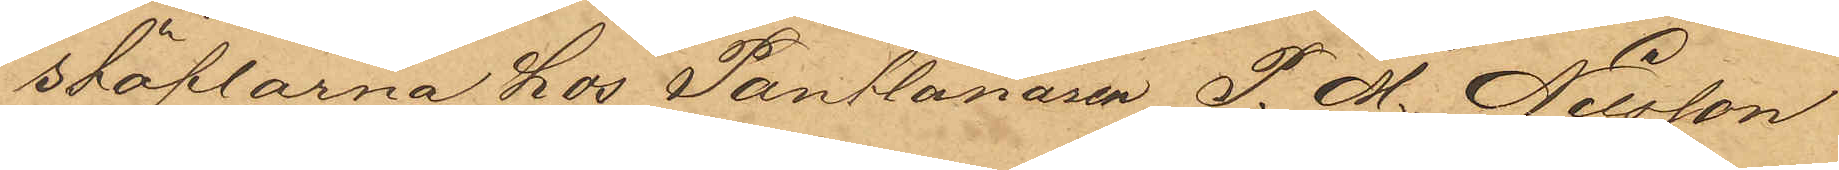stöflarna hos Pantlånaren P. M. Nilsson
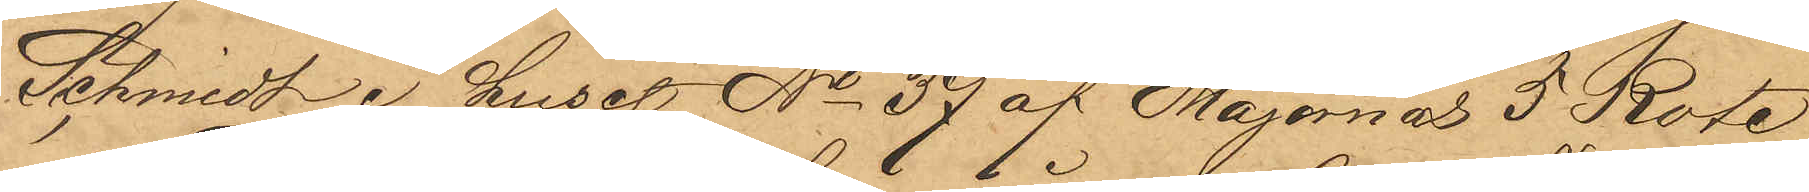Schmidt i huset No 37 af Majornas 5 Rote
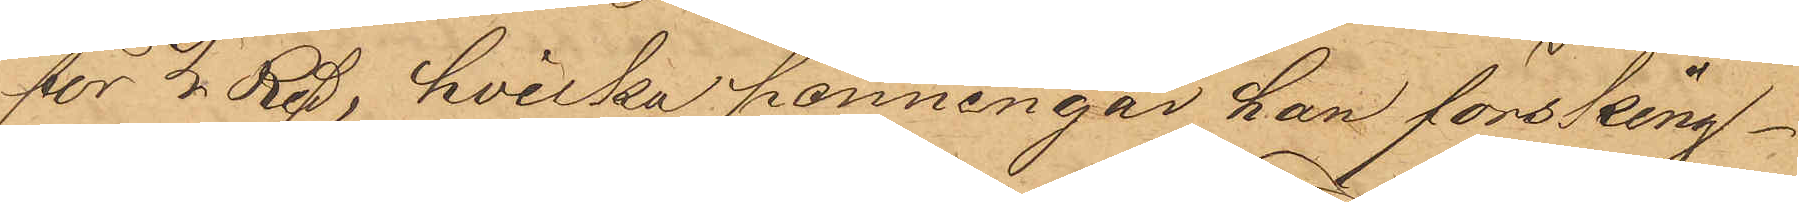för 2 Rdr, hvilka penningar han försking¬
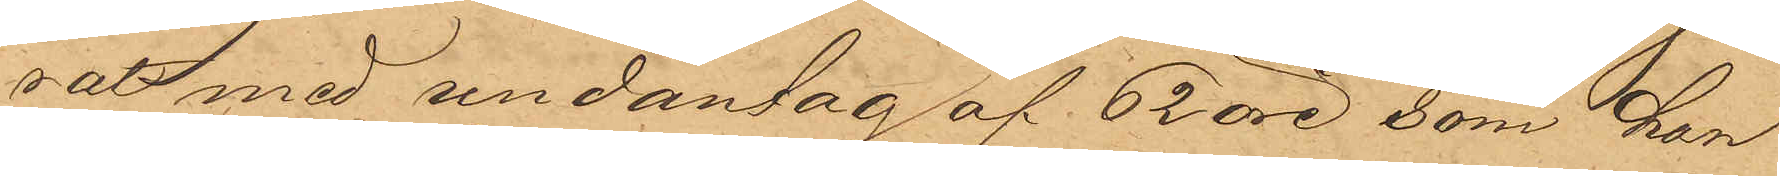rat med undantag af 62 öre, som han
